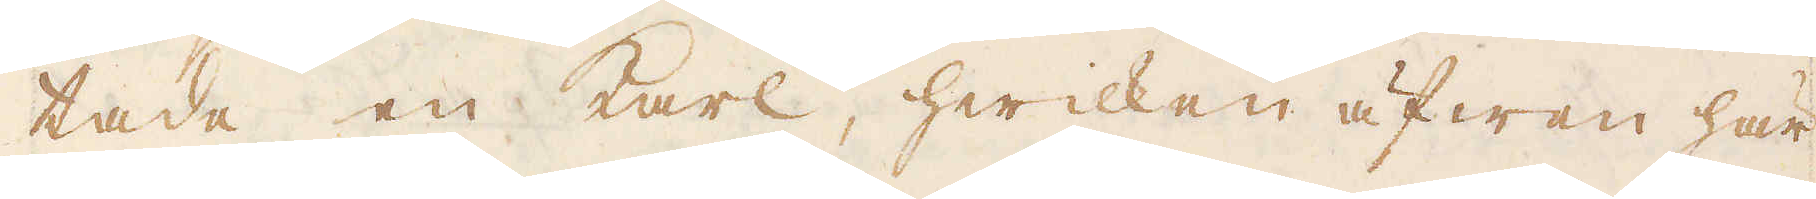tade en karl, hwilken äfwan här
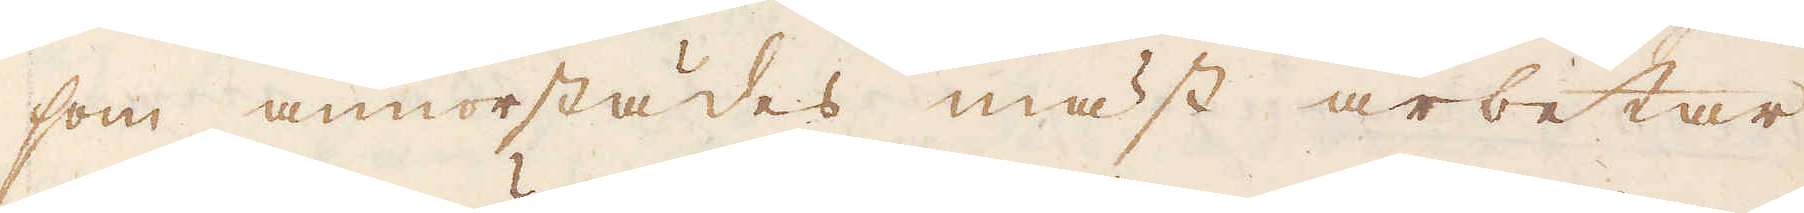som annorstädes mäst arbetar
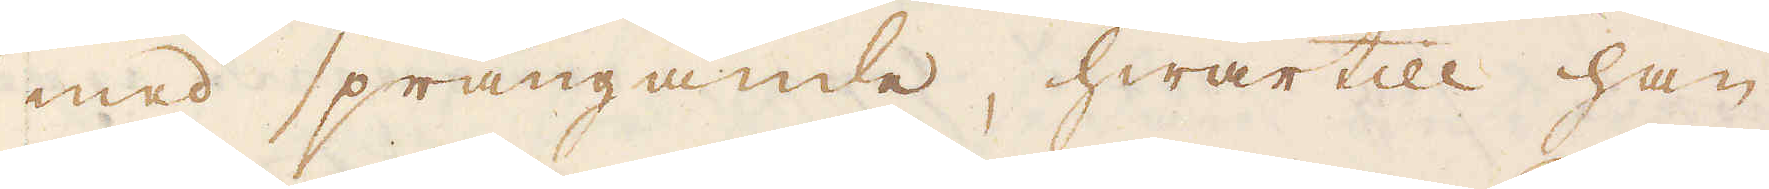med sprängande, hwartill han
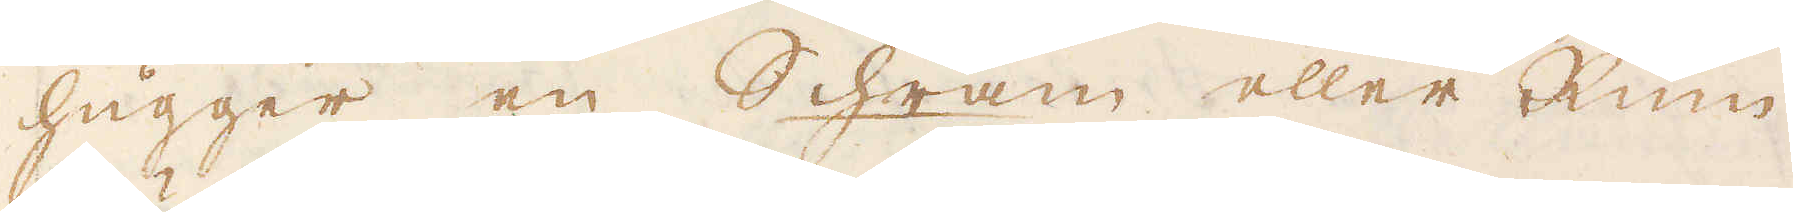hugger en Schram eller Rum
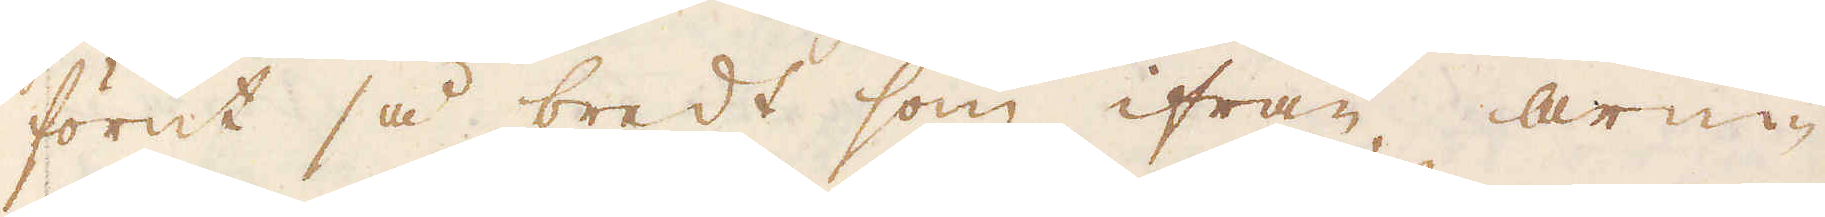förut så bredt som ifrån arm-
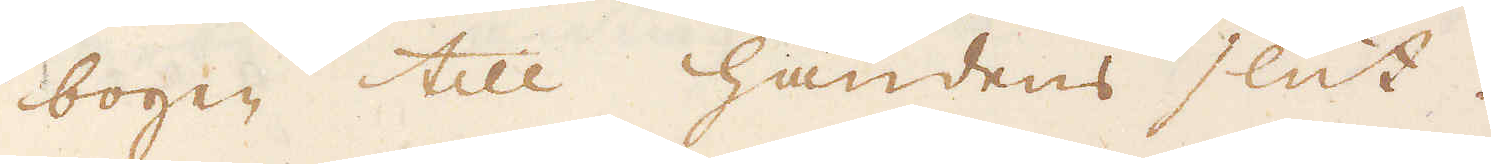bogen till handens slut.
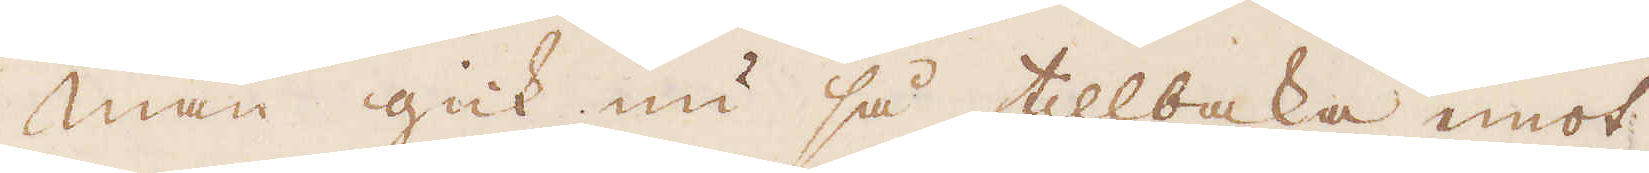Man gick nu så tillbaka mot
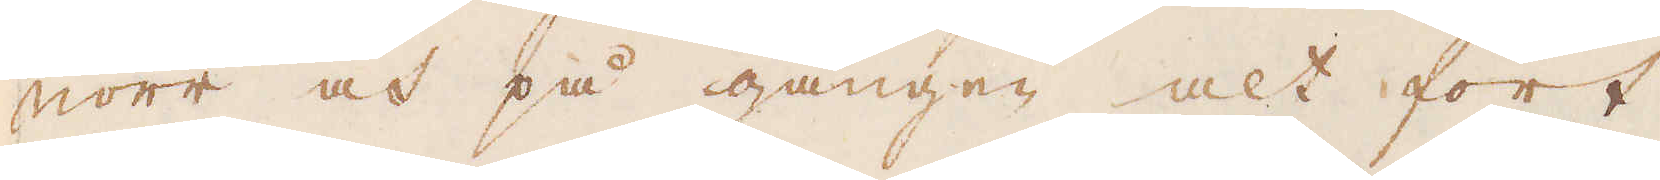norr och på gången alt fort
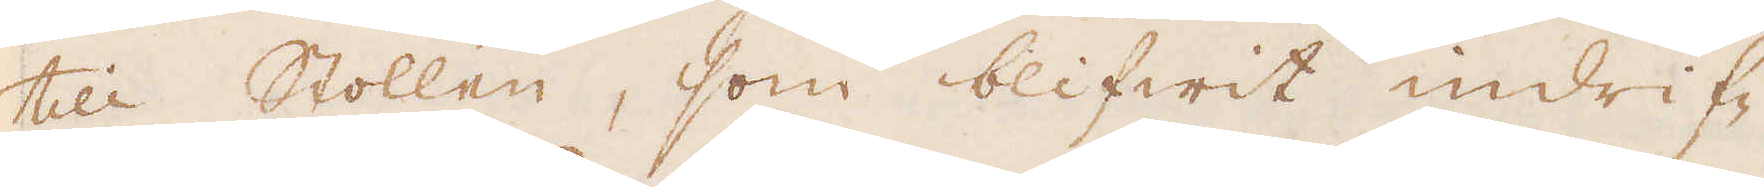till Stollen, som blifwit indrif-
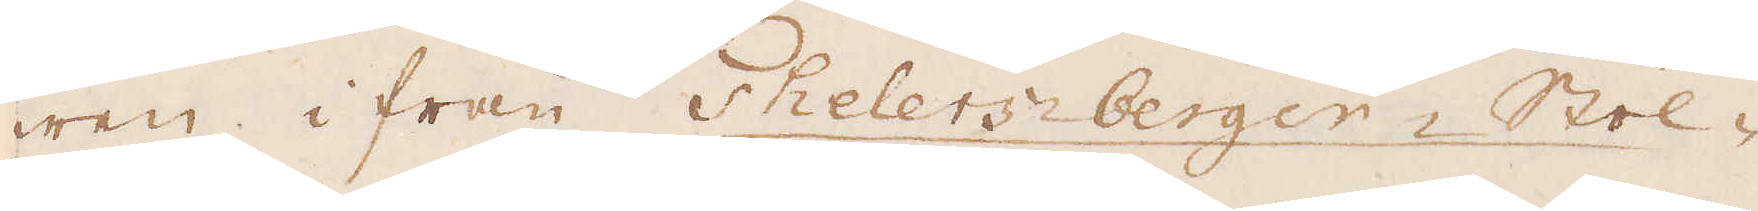wen i från Thelersberger- Stol-
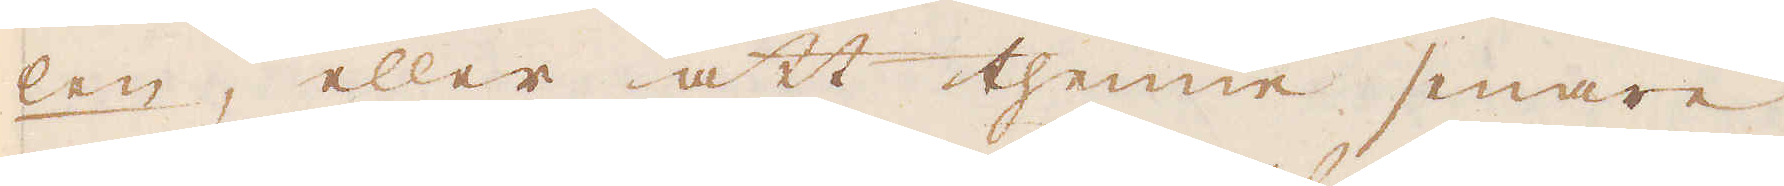len, eller att thenne senare
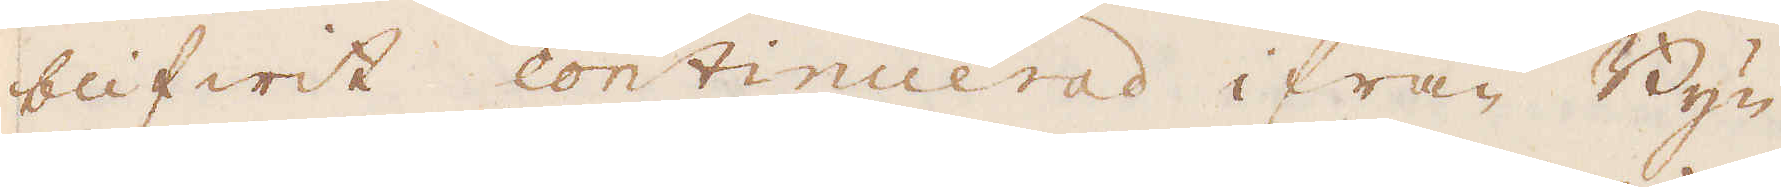blifwit continuerad ifrån Byn
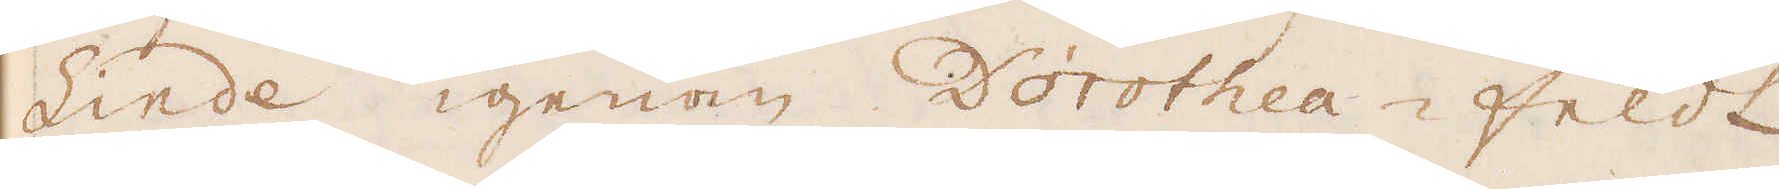Linde igenom Dorothea-feldt
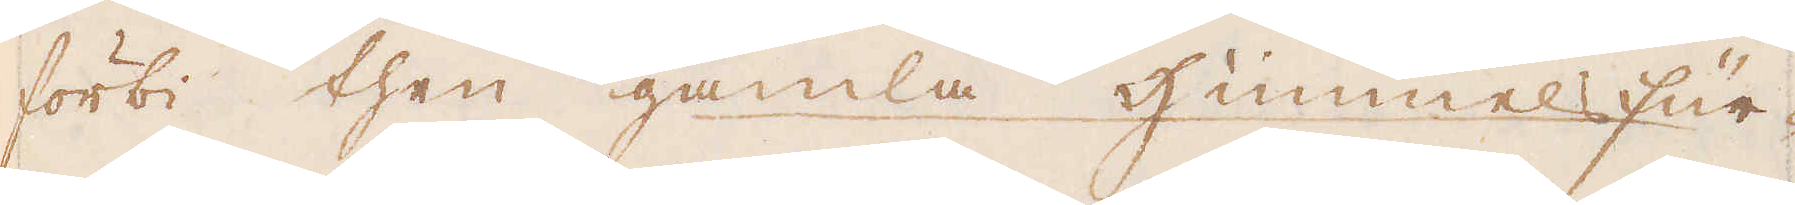förbi then gamla Himmelsfür-
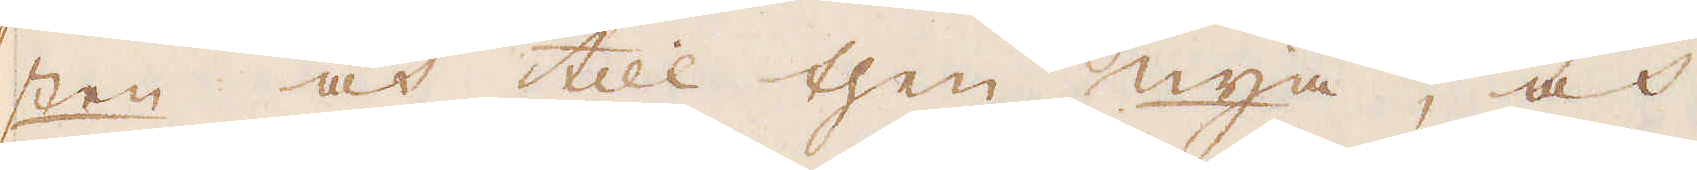sten och till then nya, och
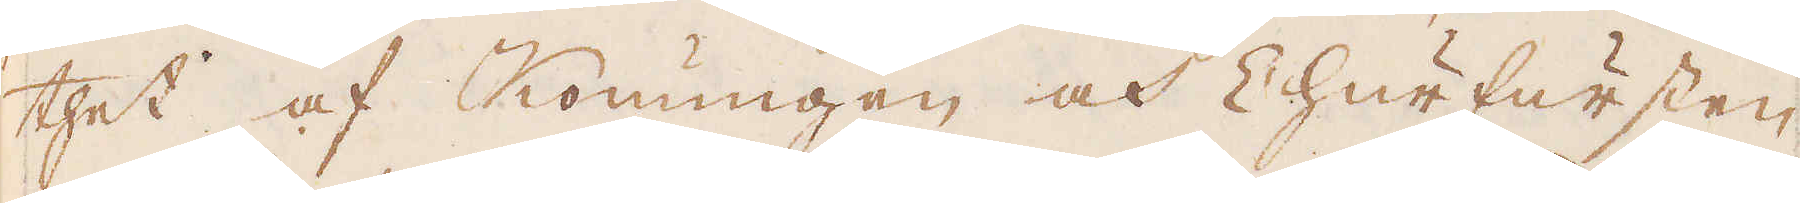thet af Konungen och Churfursten
